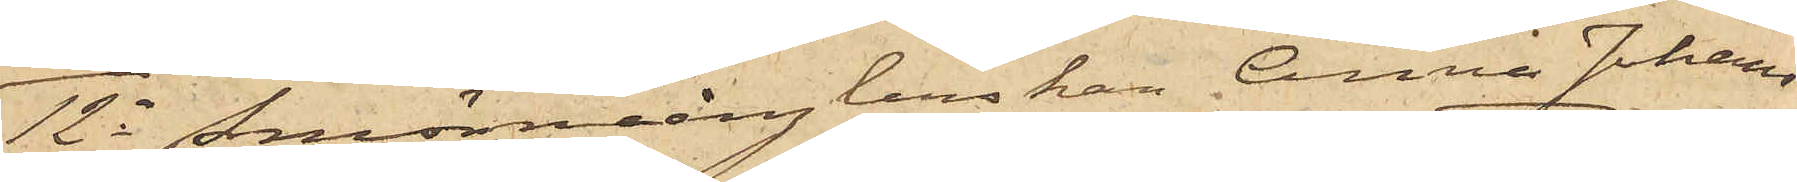12o Smörmånglerskan Anna Johans¬
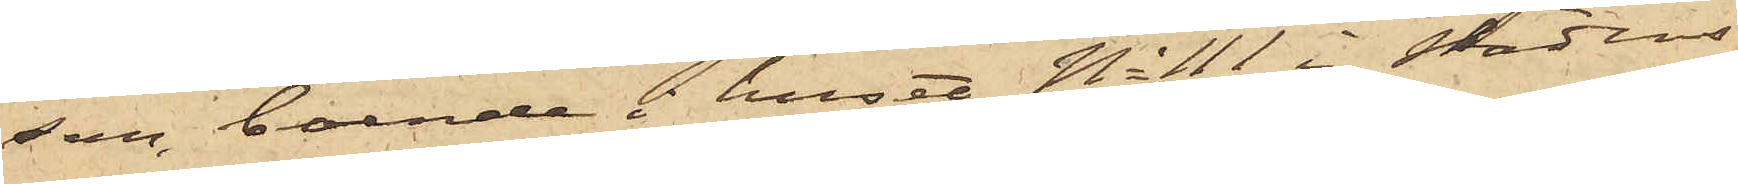son, boende i huset No 111 i stadens
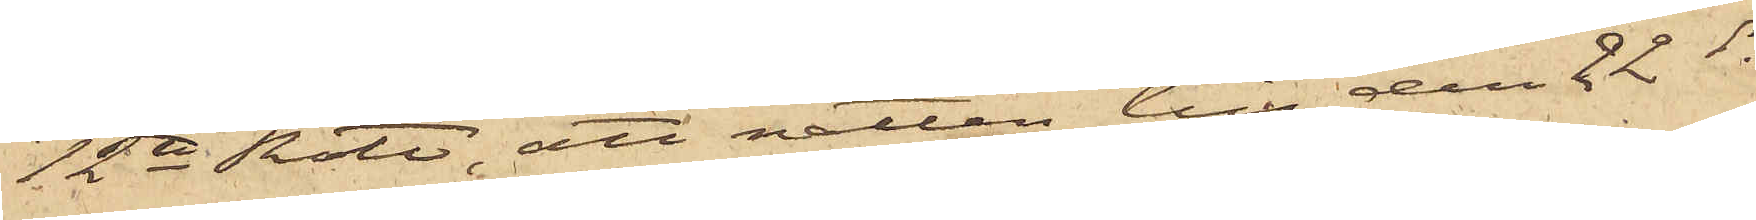12te Rote, att natten till den 22 ds
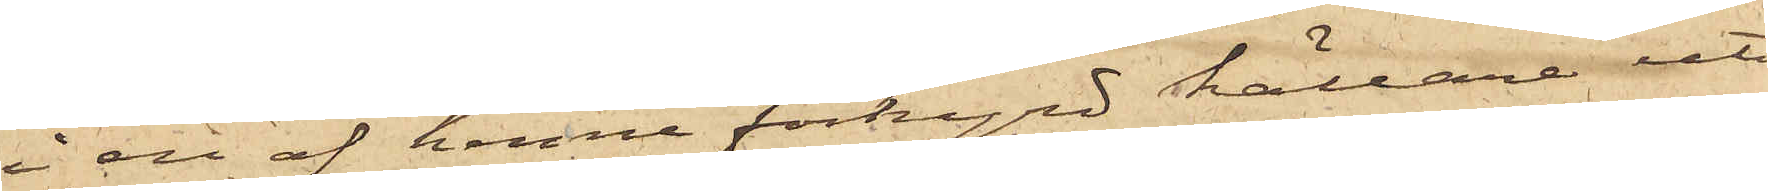i en af henne förhyrd källare uti
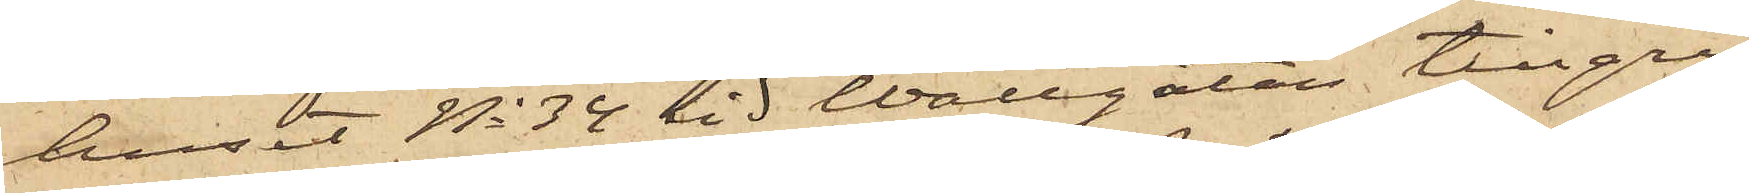huset No 34 vid Wallgatan tillgri¬
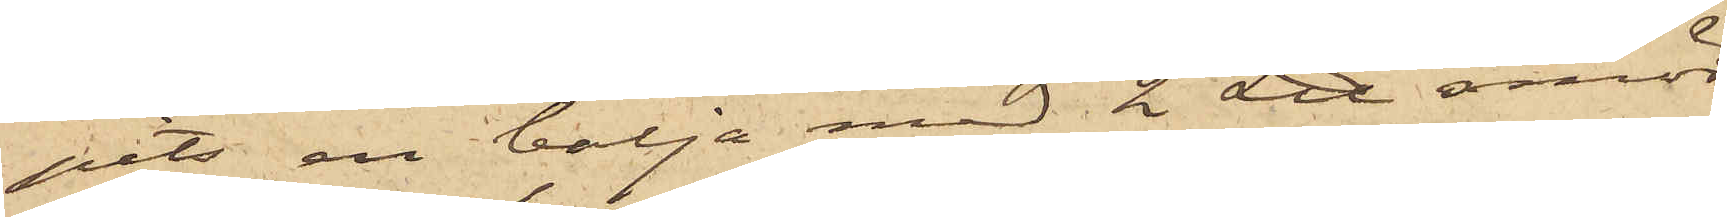pits en balja med 2 L℔ smör,
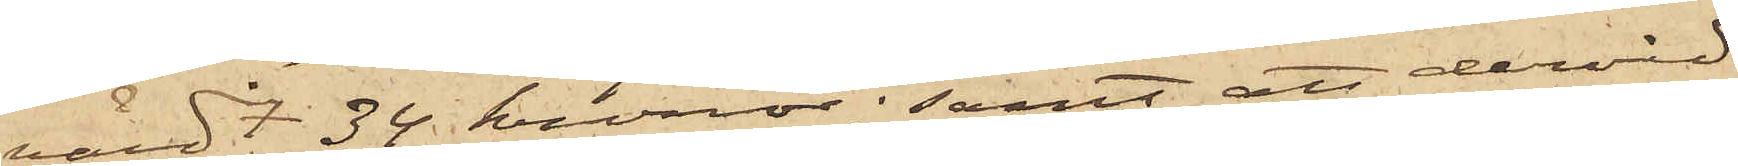värdt 34 kronor; samt att dervid
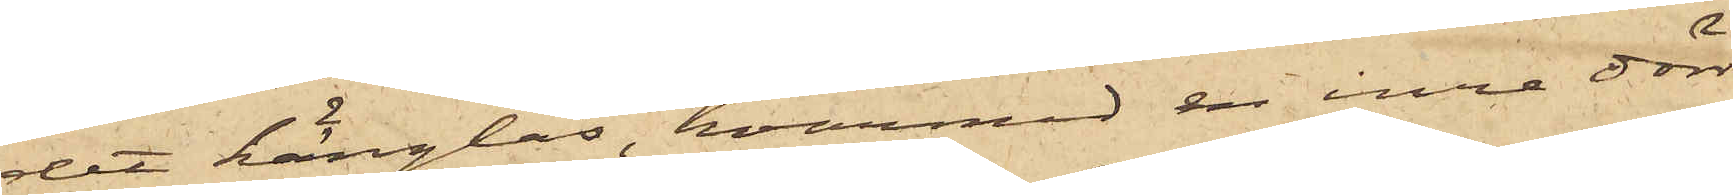det hänglås, hvarmed en inre dörr
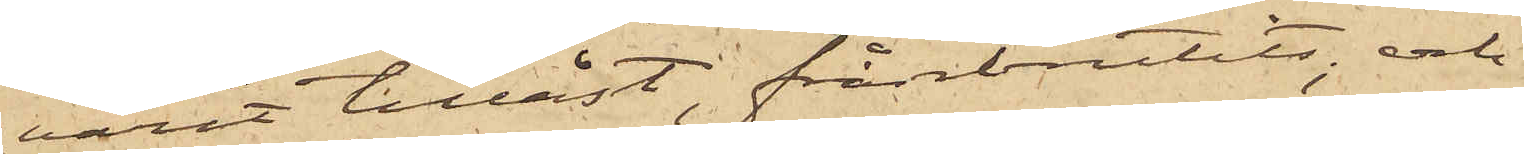varit tillåst, frånbrutits; och
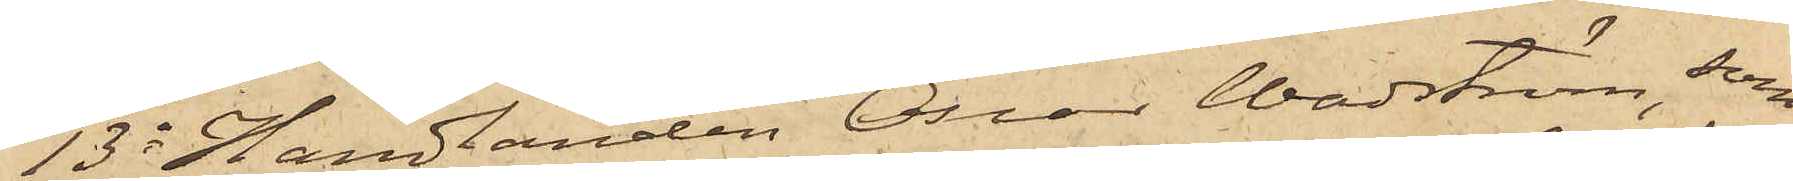13o Handlanden Oscar Wadström, som
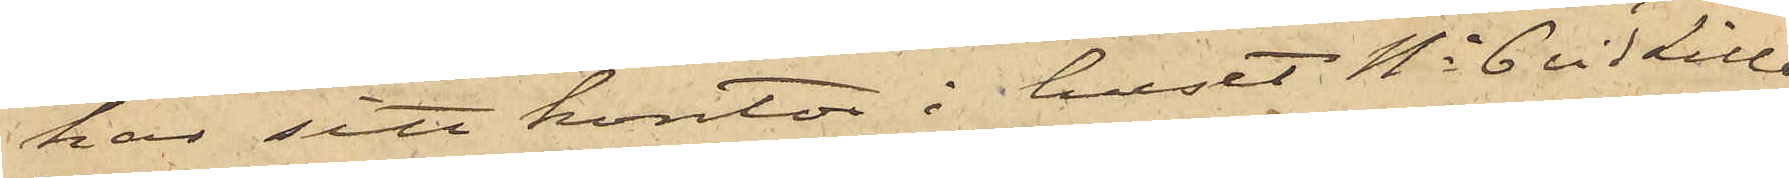har sitt kontor i huset No 6 vid Lilla
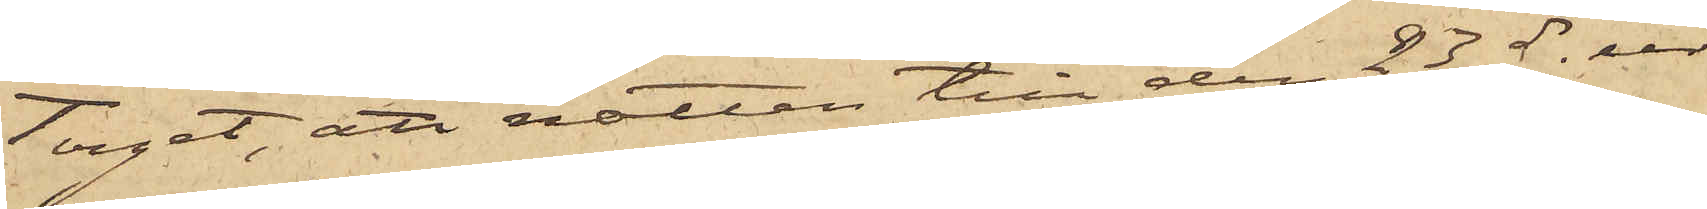Torget, att natten till den 23ds ur
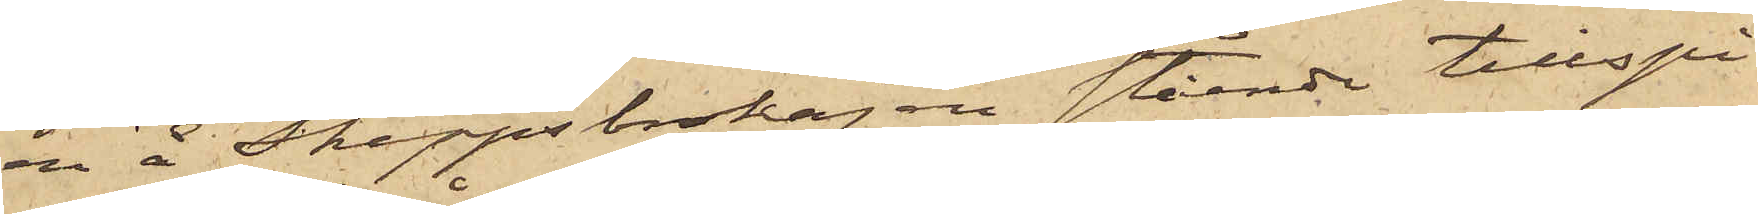en å Skeppsbrokajen stående tillspi¬
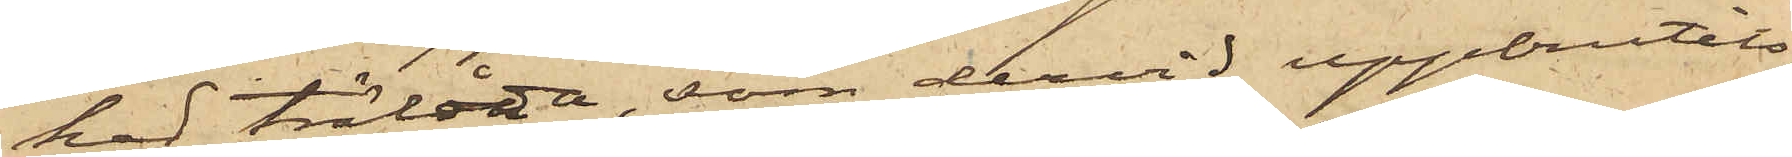kad trälåda, som dervid uppbrutits,
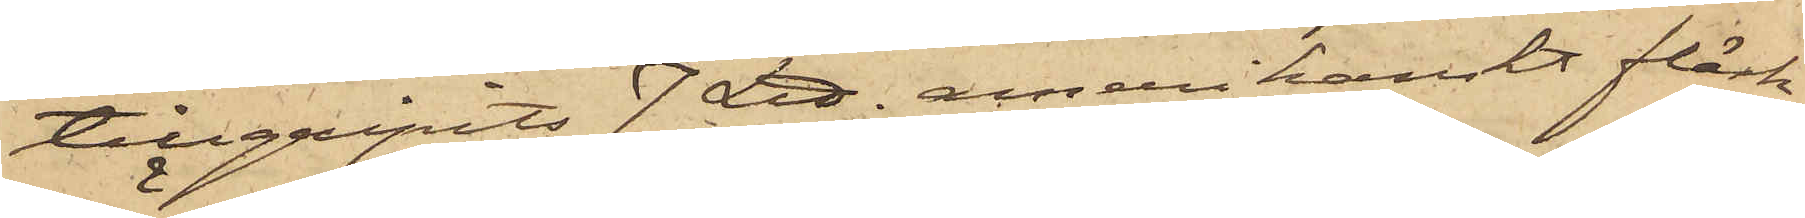tillgripits 7 L℔ amerikanskt fläsk,
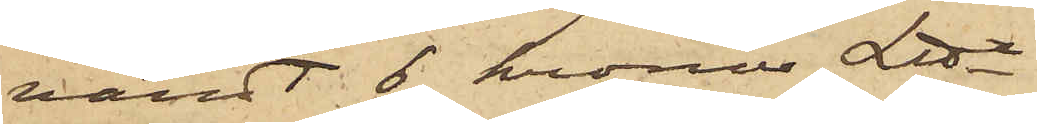värdt 6 kronor L℔.
